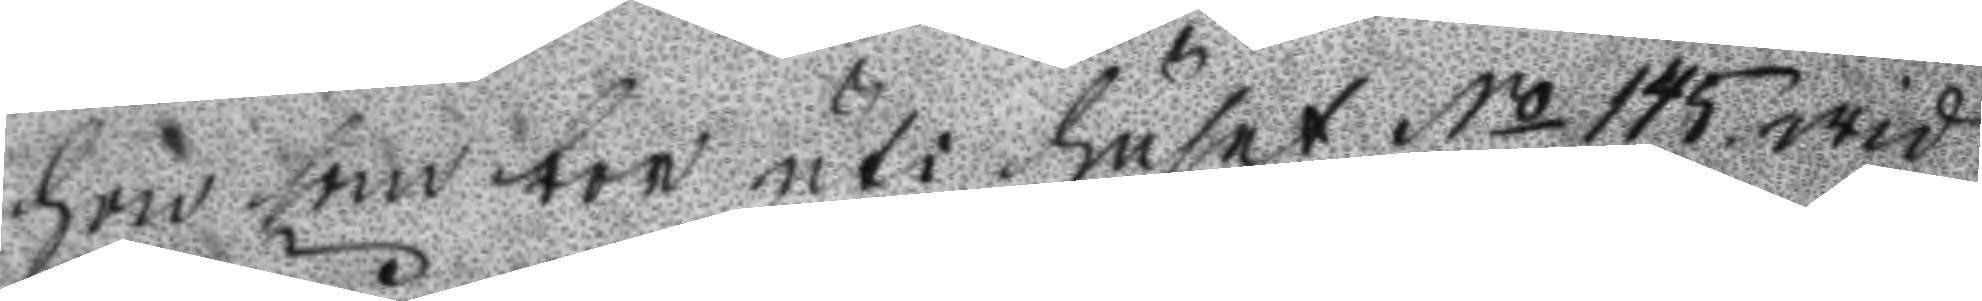hon som bor uti huset No 145. wid
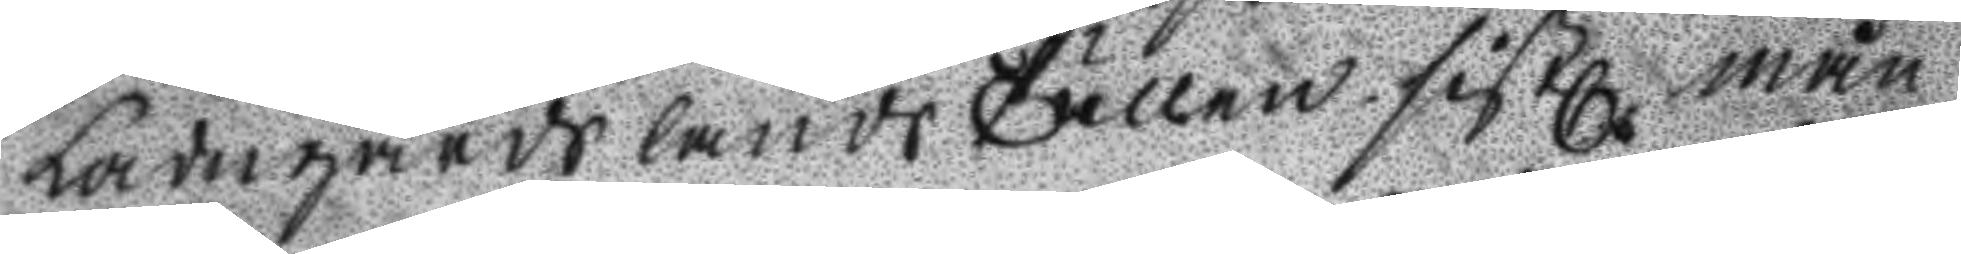Ladugårdslands Tullen sistl. mån
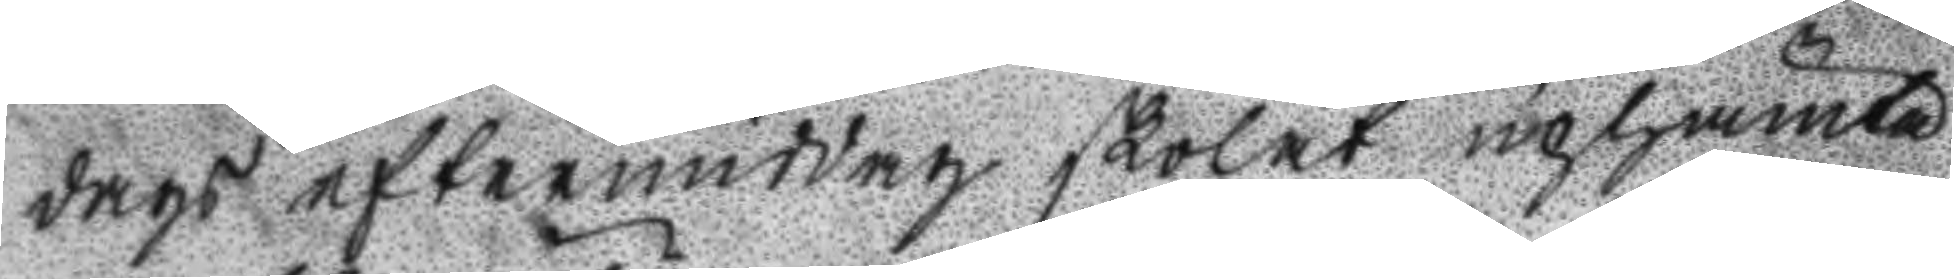dags eftermiddag skolat uphämta
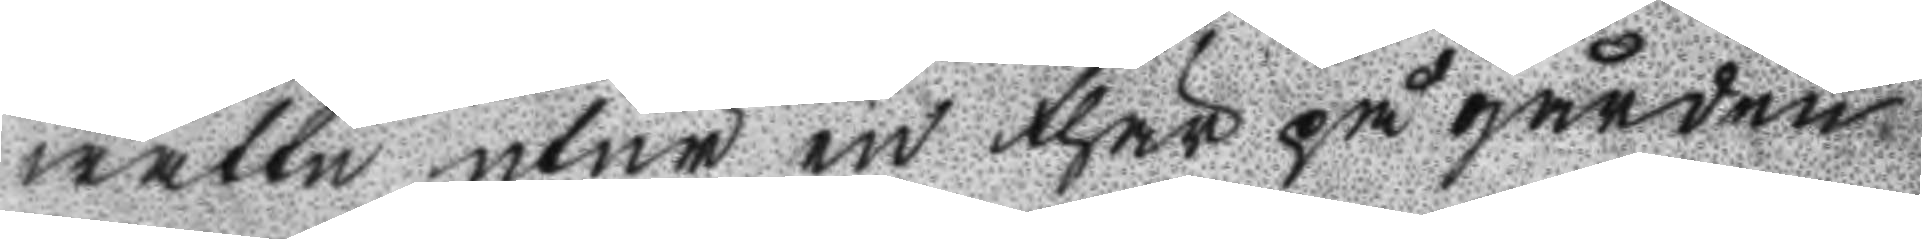wattn utur en thär på gården
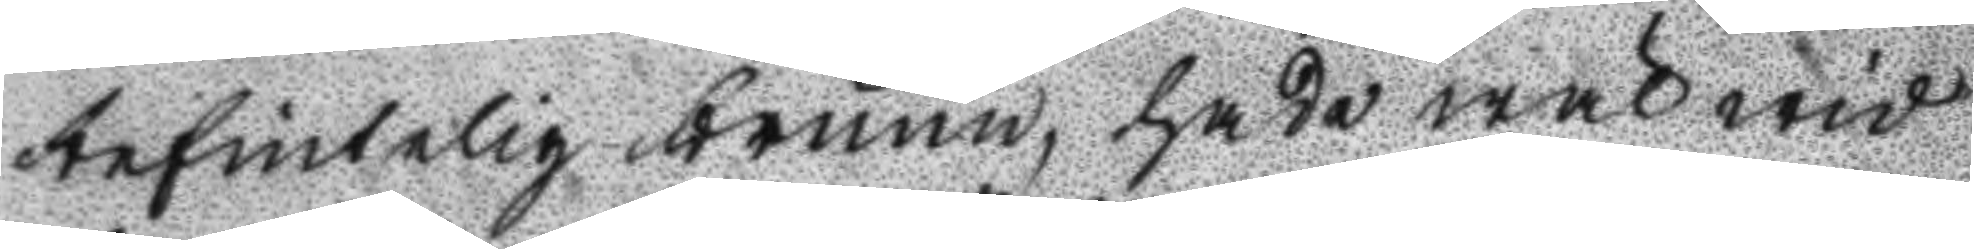befintelig brunn, hade wäl wid
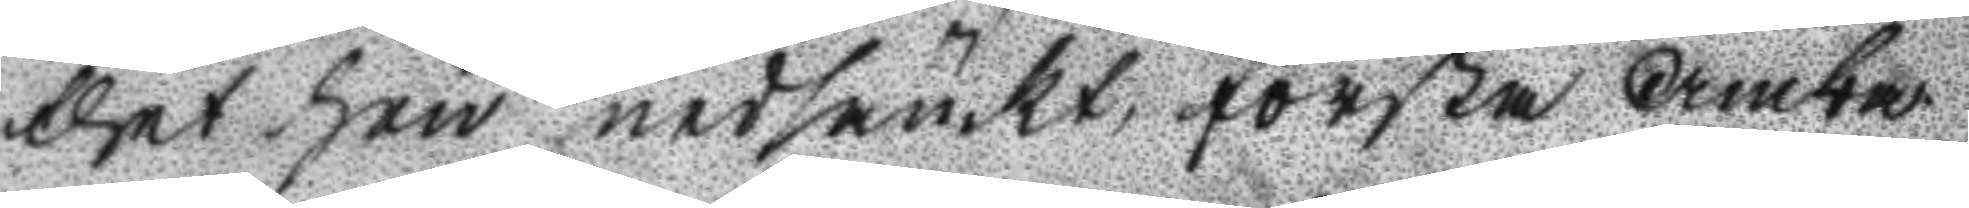thet hon nedsänkt första Amba
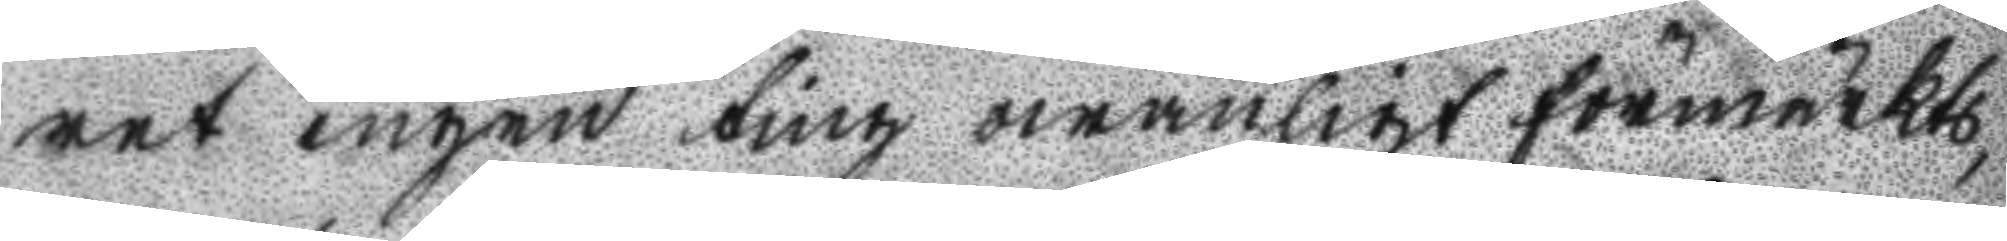ret ingen ting owanligt förmärkts
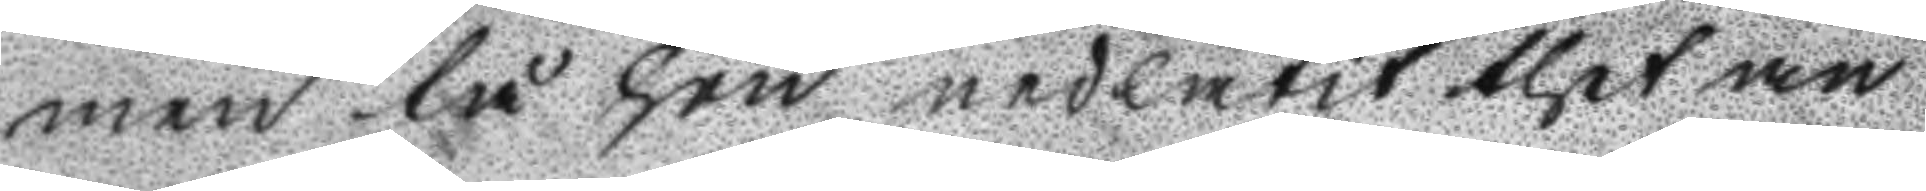men tå hon nedlåtit thet an
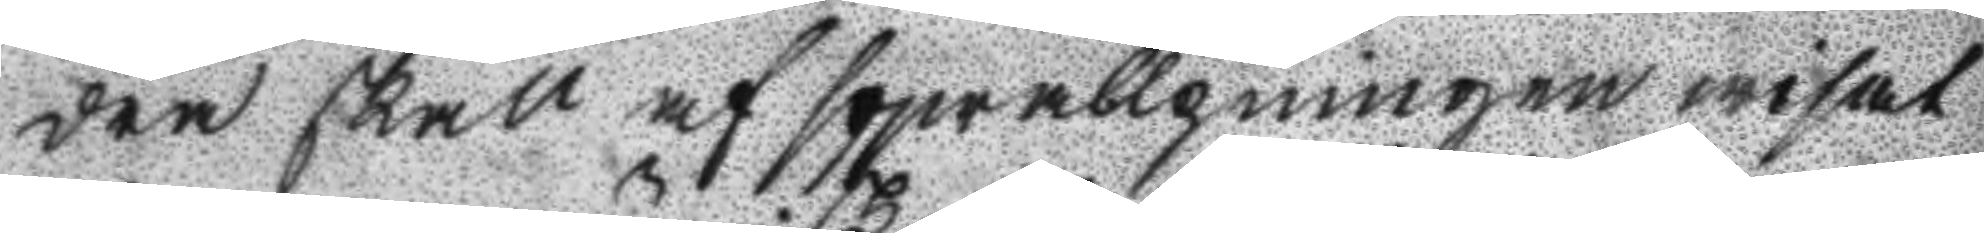dra skall af sqwallpningen wisat
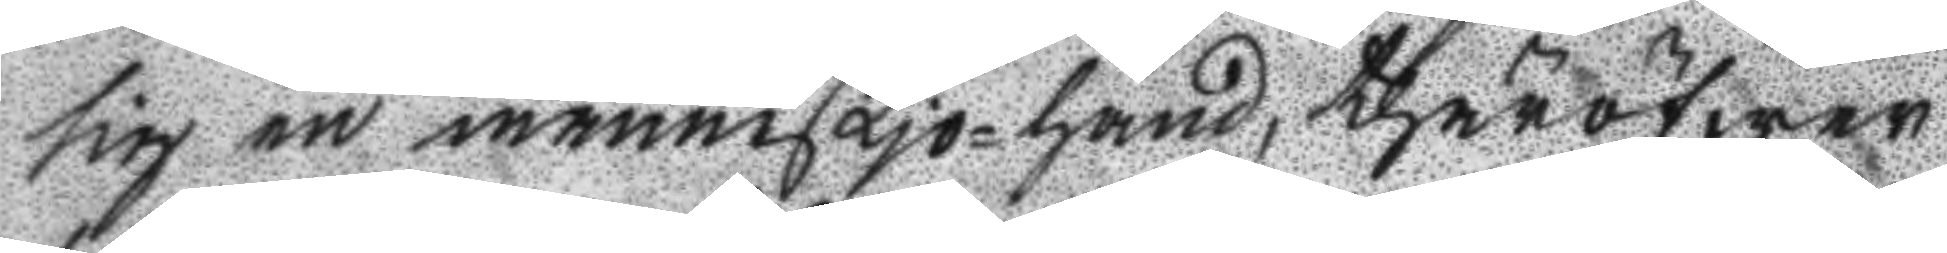sig en människjo-hand, thäröfwer
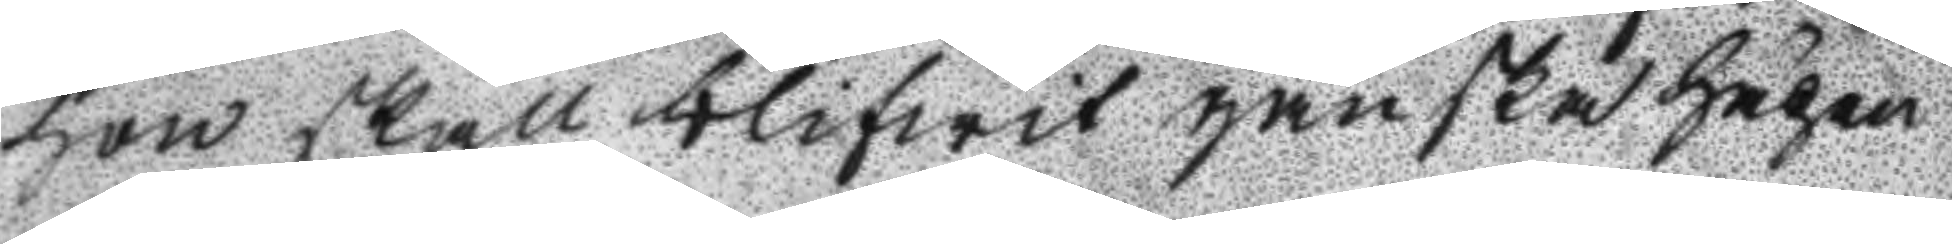hon skall blifwit ganska häpen
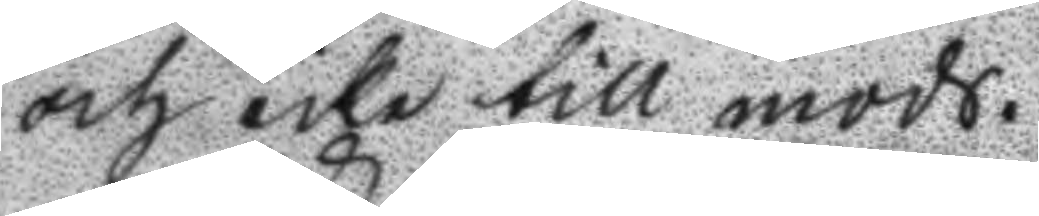och icke till mods.
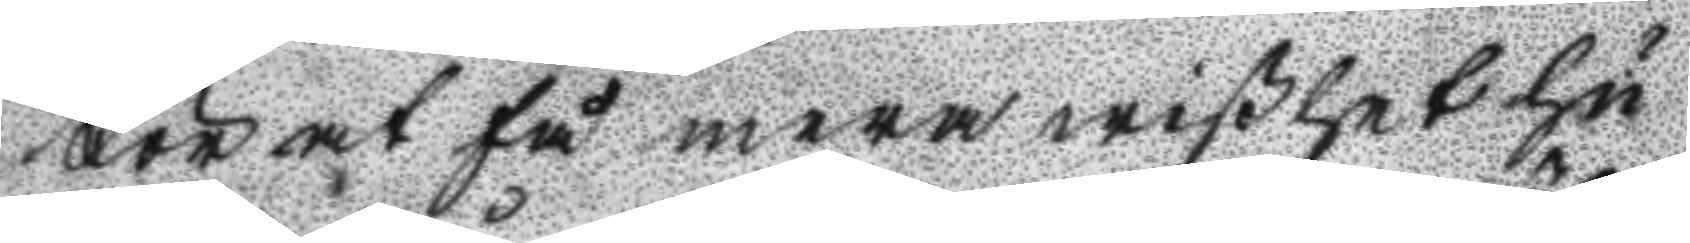För at få mera wißhet hu
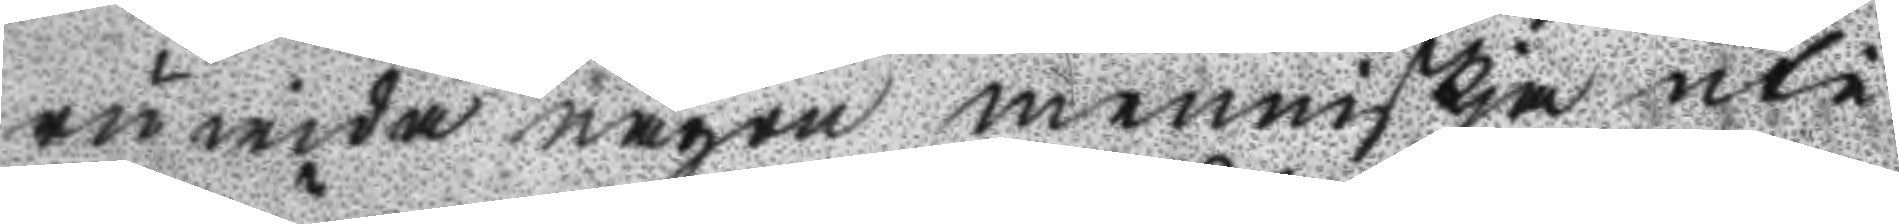ru wida någon menniskja uti
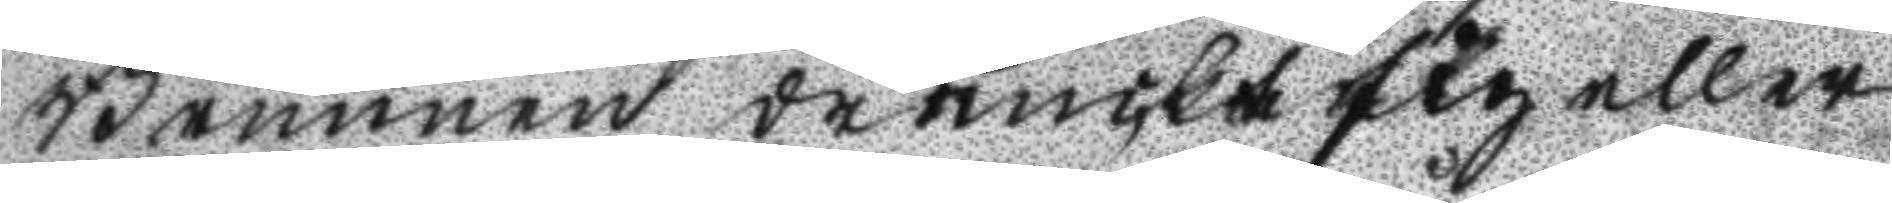Brunnen dränckt sig eller
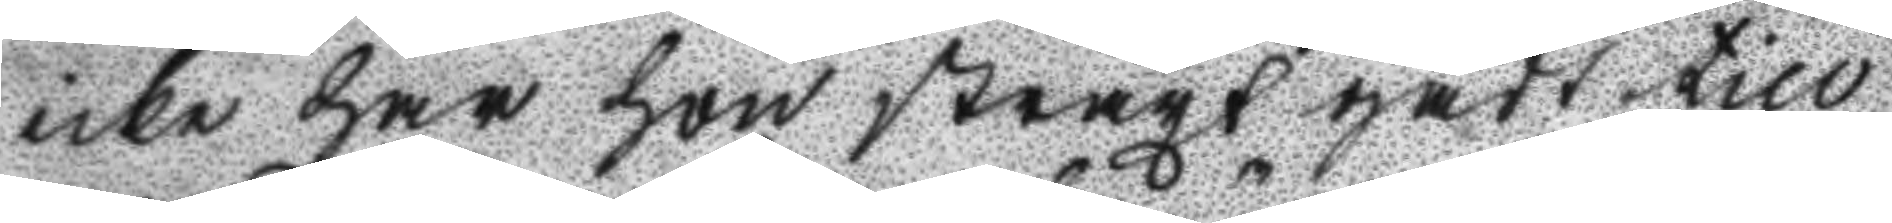icke har hon straxt gått till
